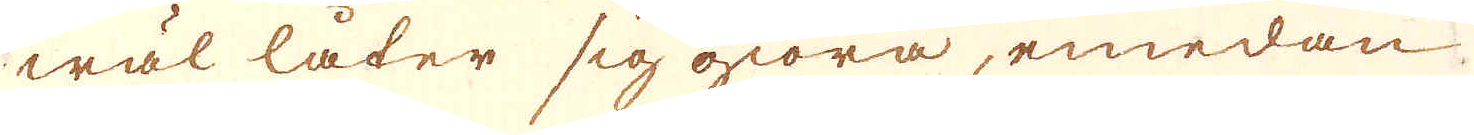wäl låder sig giöra, emedan
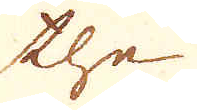the
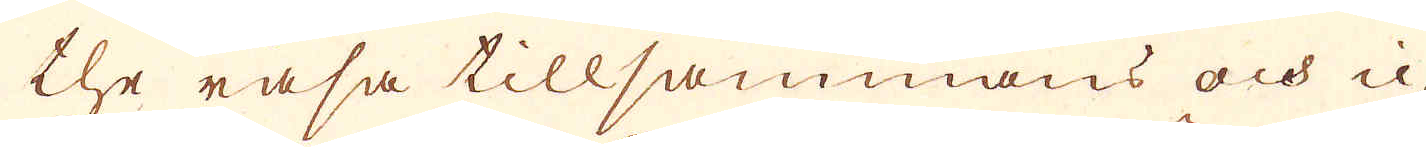the rasa tillsammans och ic-
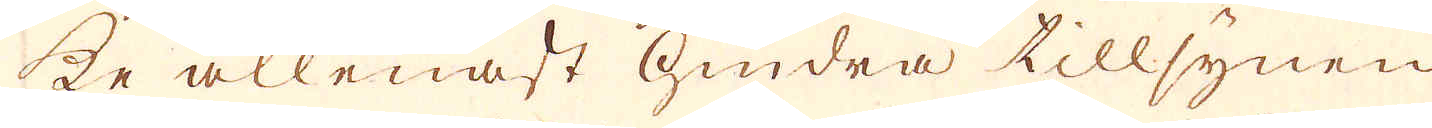ke allenast hindra tillsynen
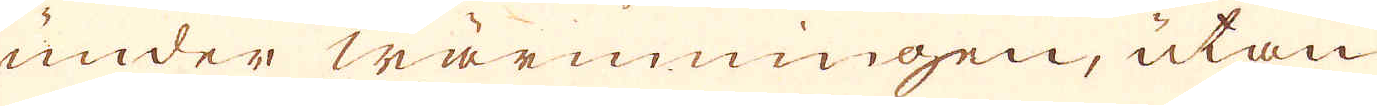under wärmningen, utan
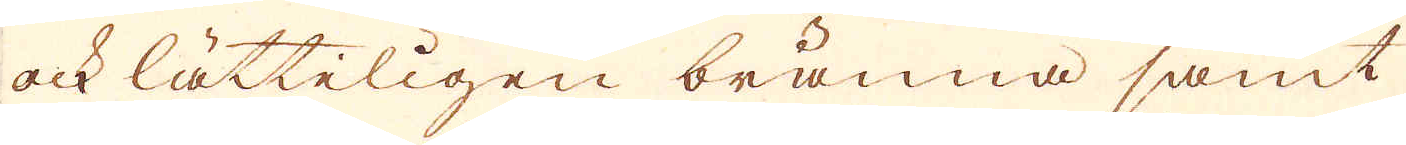ock lätteligen bränna samt
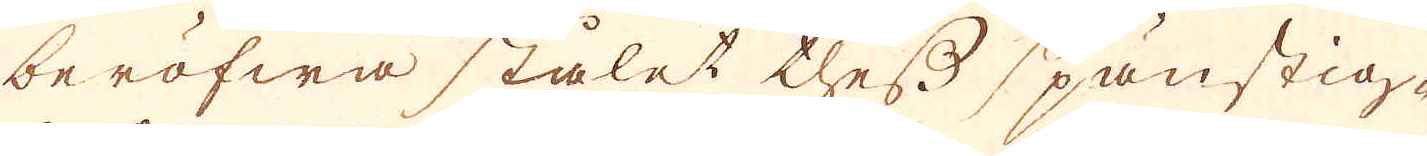beröfwa stålet thess spänstig-
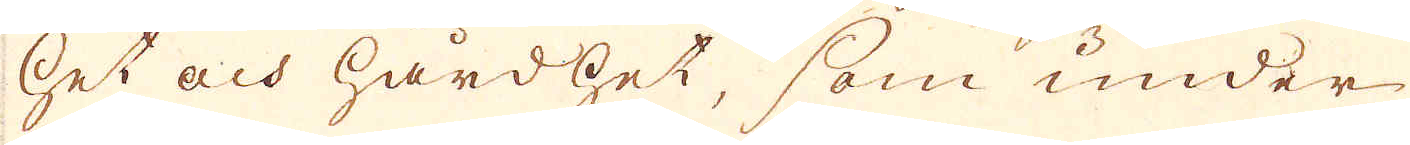het och hårdhet, som under
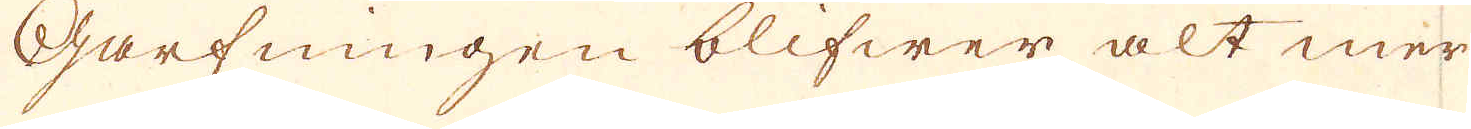Garfningen blifwer alt mer
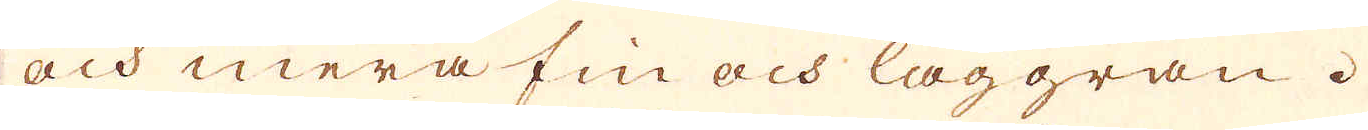och mera fin och laggran.
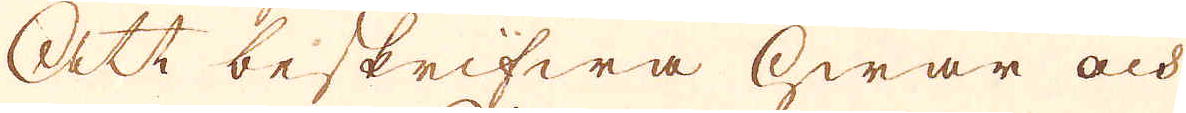Att beskrifwa hwar och
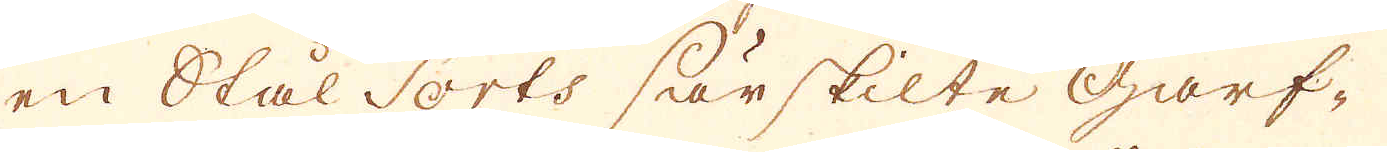en Stål Sorts särskilte Garf-
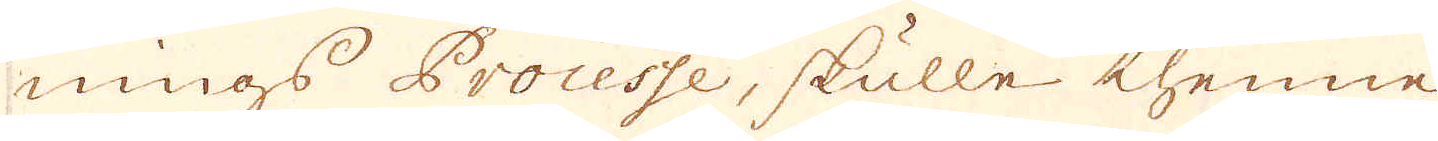nings Processe, skulle thenne
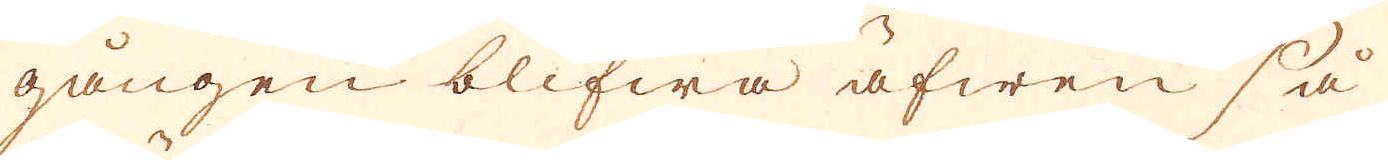gången blifwa äfwen så
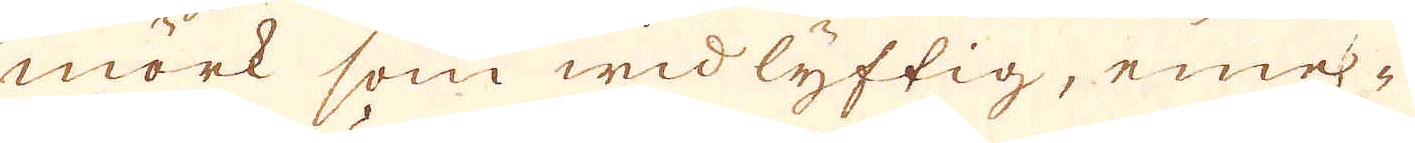mörk som widlyftig, eme-
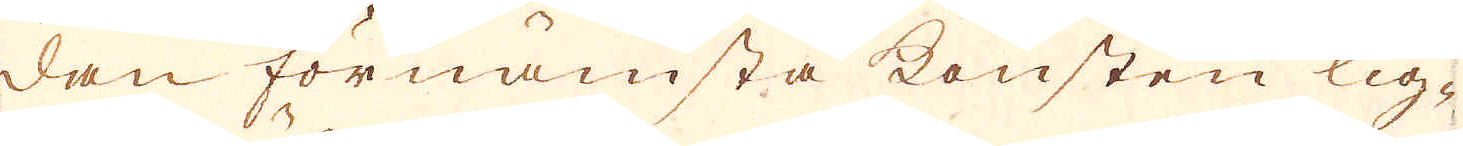dan förnämsta konsten lig-
